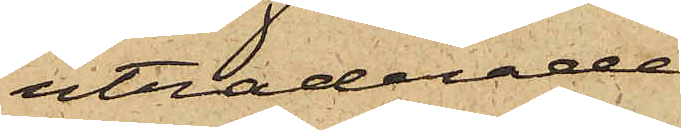utraderade,
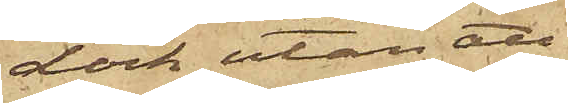dock utan att
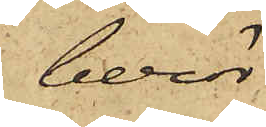berör¬
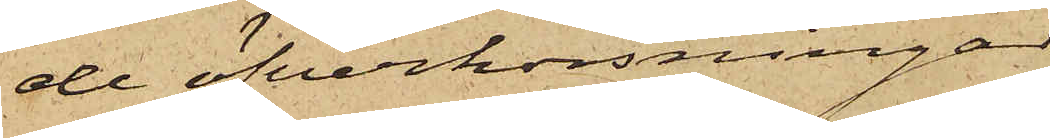de öfverkorsningar
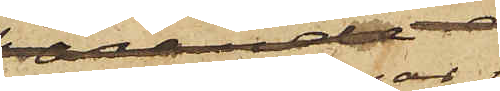och raderingar
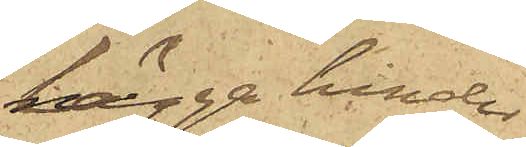lägga hinder
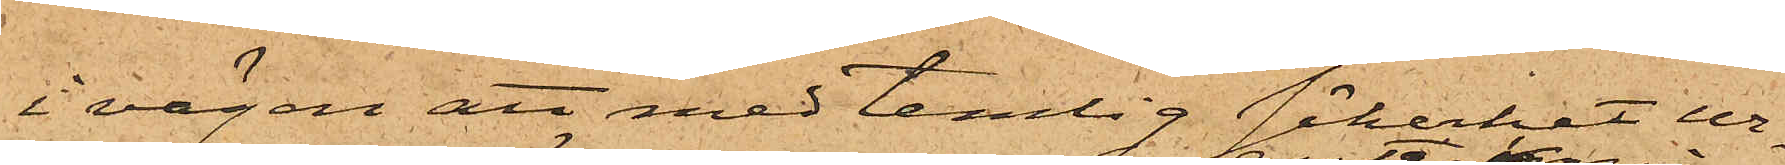i vägen att med temlig säkerhet ur¬
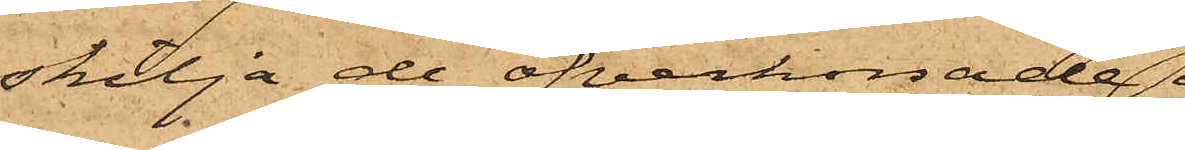skilja de öfverkorsade
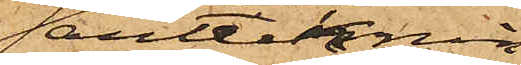antecknin¬
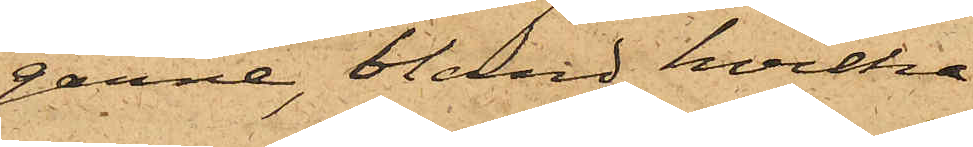garne, bland hvilka
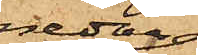nedan
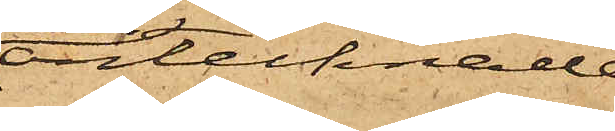antecknade
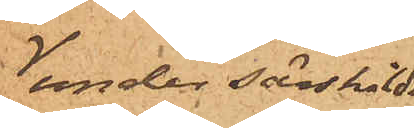under särskilda
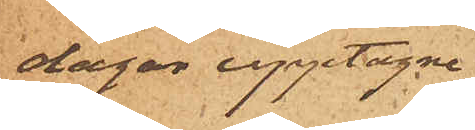dagar upptagne,
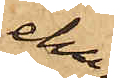ehu¬
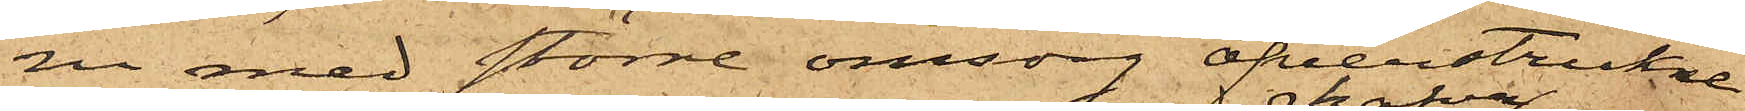ru med större omsorg öfverstrukne
